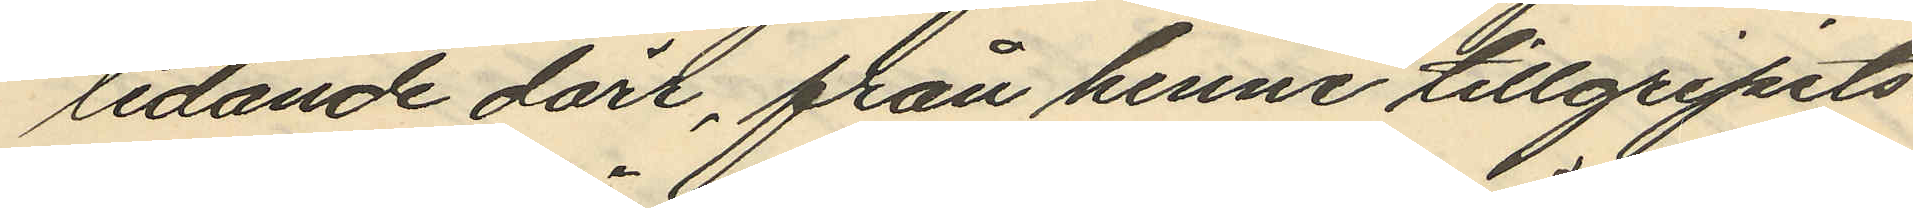ledande dörr, från henne tillgripits
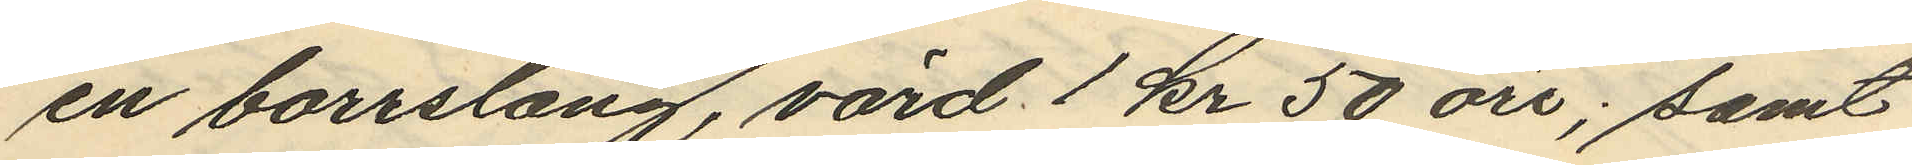en borrsläng, värd 1 kr 50 öre; samt
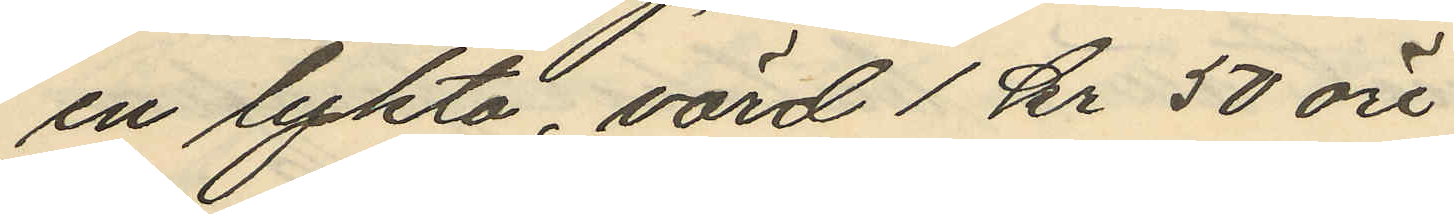en lykta, värd 1 kr 50 öre
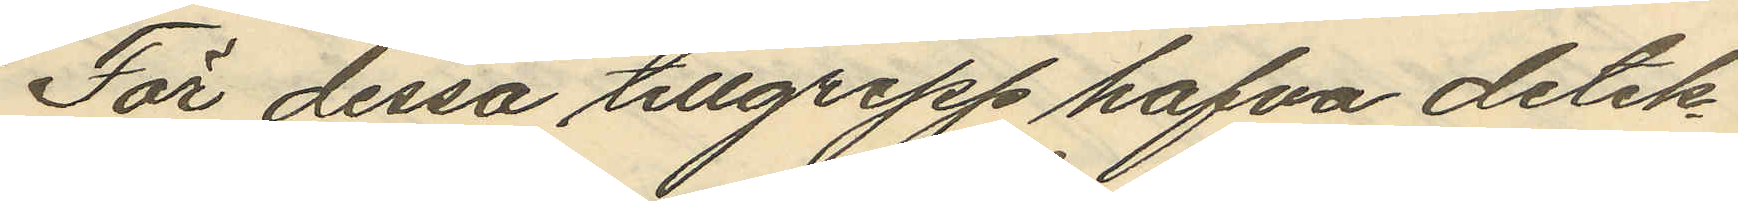För dessa tillgrepp hafva detek¬
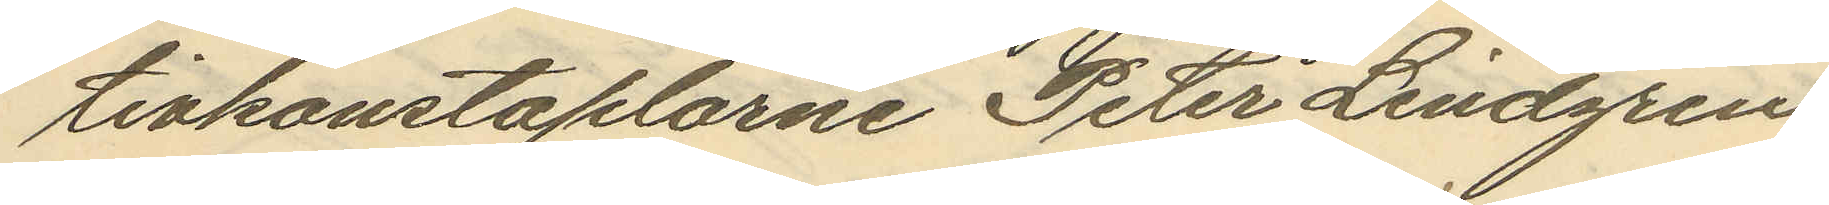tivkonstaplarne Peter Lindgren
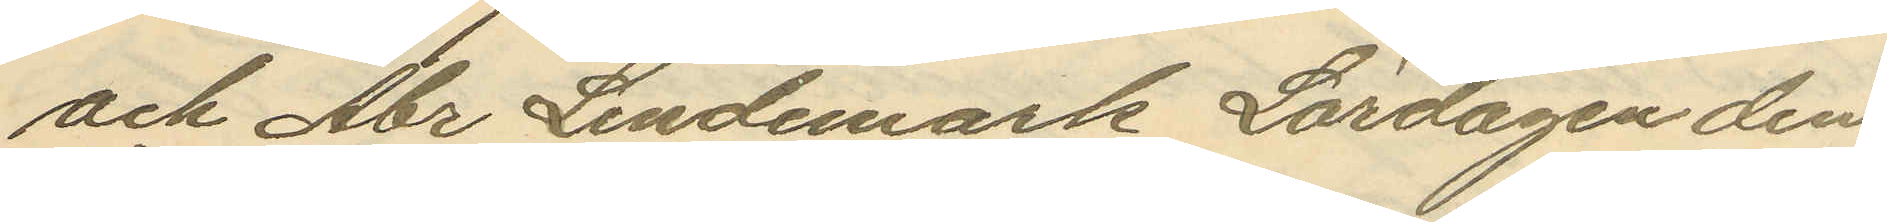och Abr Lindemark Lördagen den
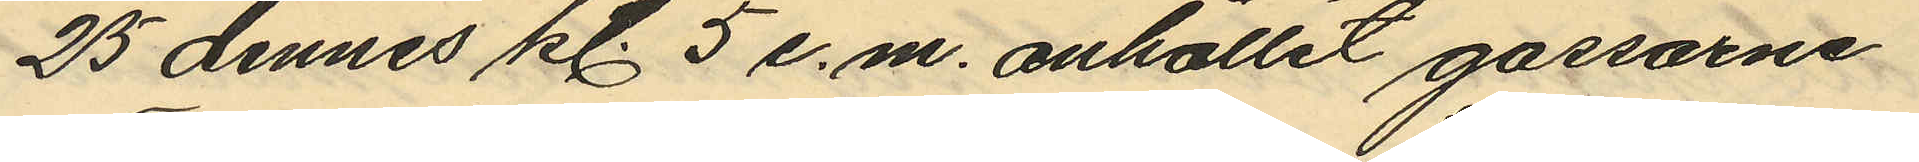25 dennes kl. 5 e.m. anhållit gossarne
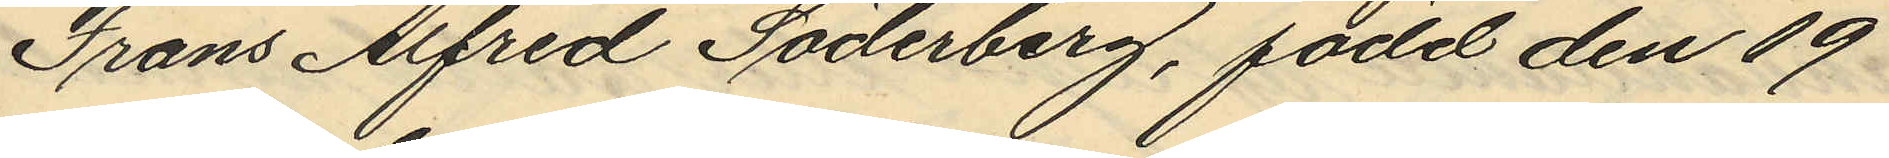Frans Alfred Söderberg, född den 19
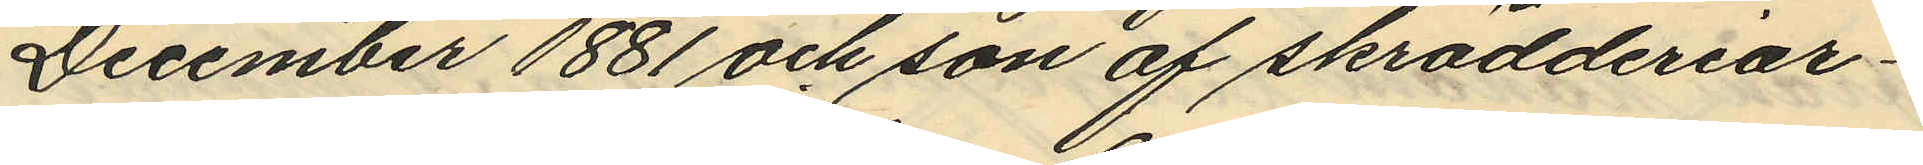December 1881 och son af skrädderiar¬
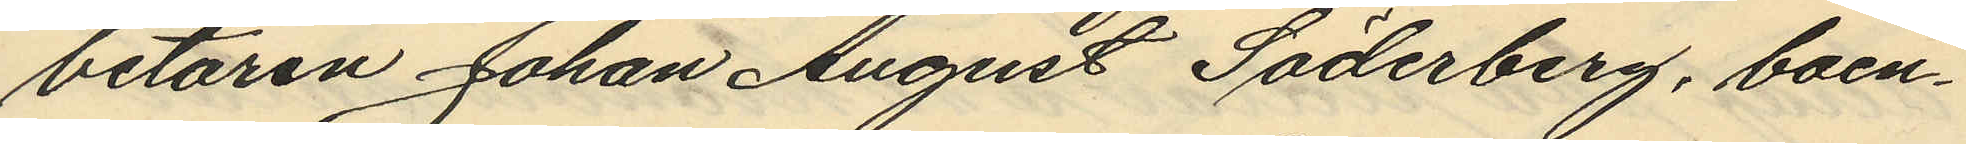betaren Johan August Söderberg, boen¬
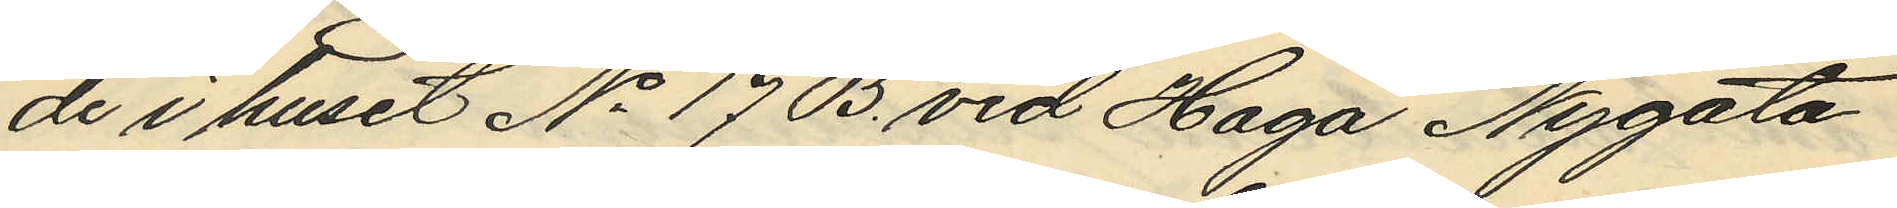de i huset No 17 B. vid Haga Nygata
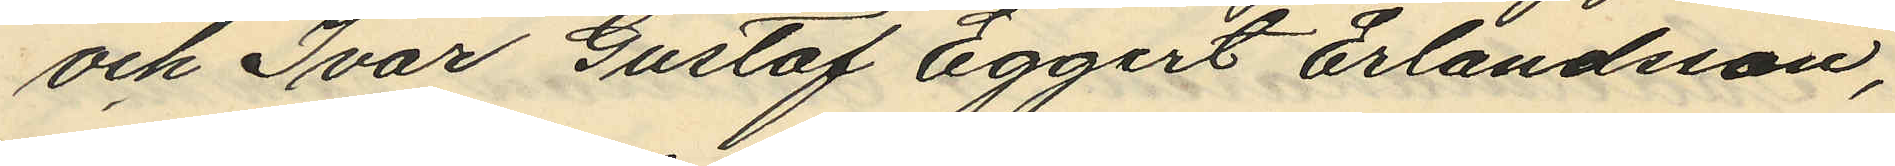och Ivar Gustaf Eggert Erlandsson,
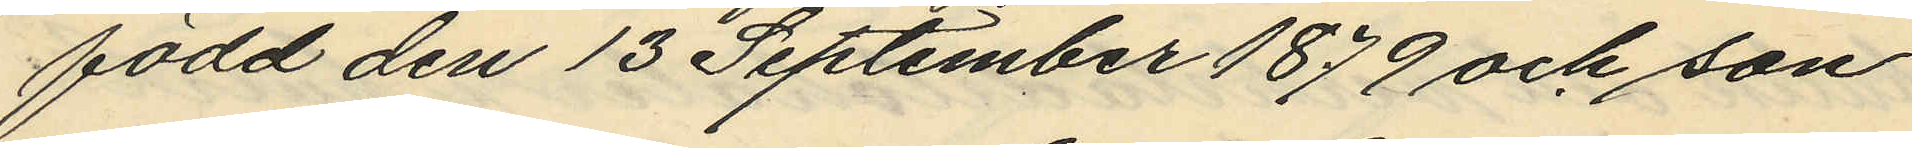född den 13 September 1879 och son
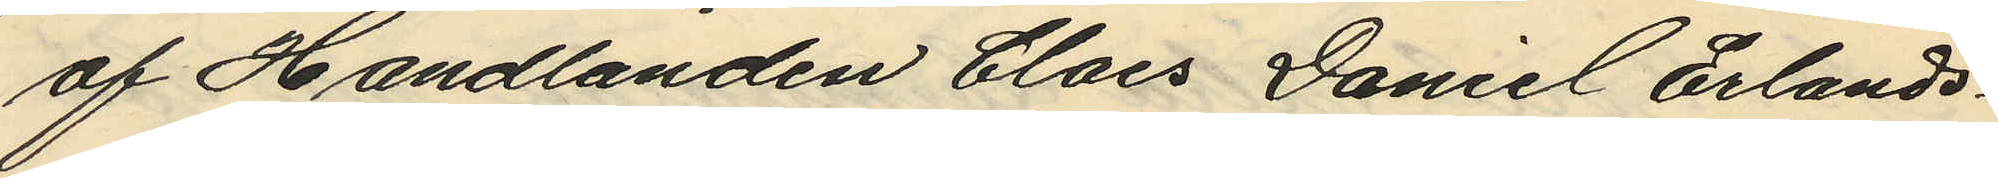af Handlanden Claes Daniel Erlands¬
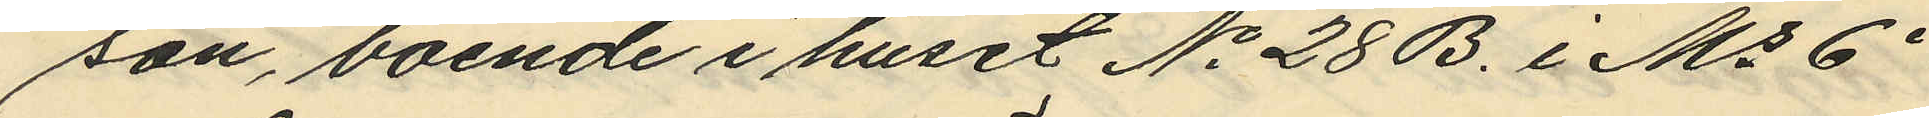son, boende i huset No 28 B. i Ms 6e
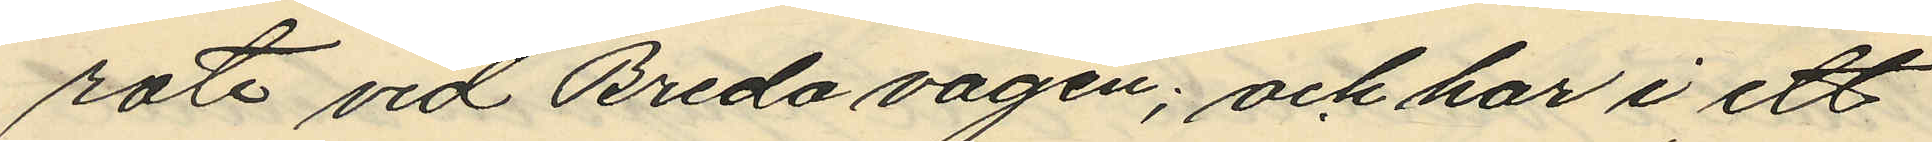rote vid Breda vägen; och har i ett
